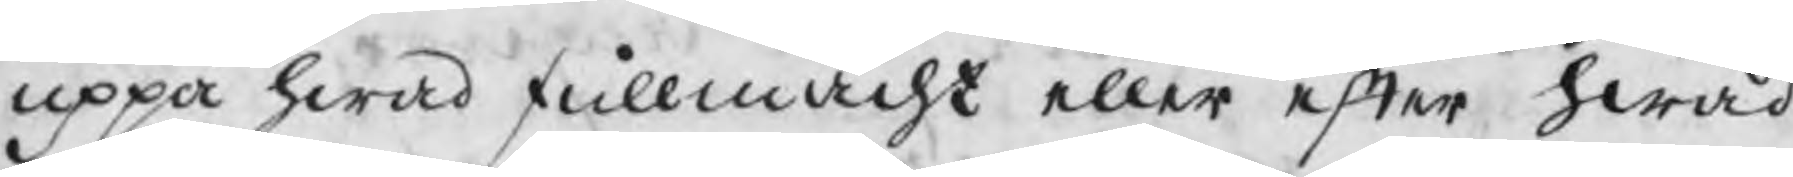oppå hwad fullmacht eller efter hwad
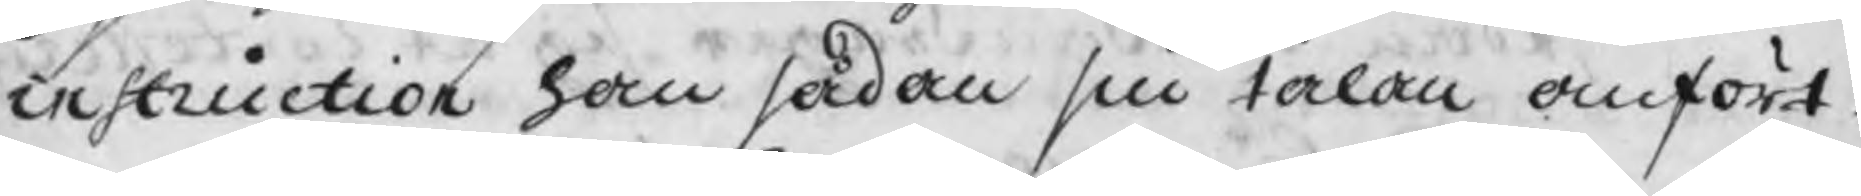instruction han sådan sin talan anfört.
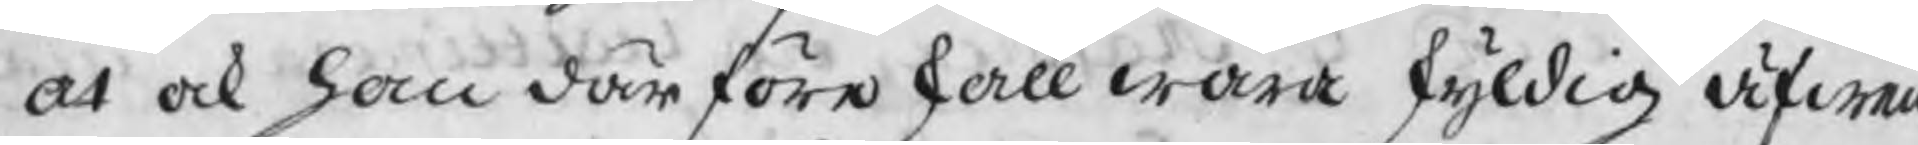at ock han därföre skall wara skyldig äfwen
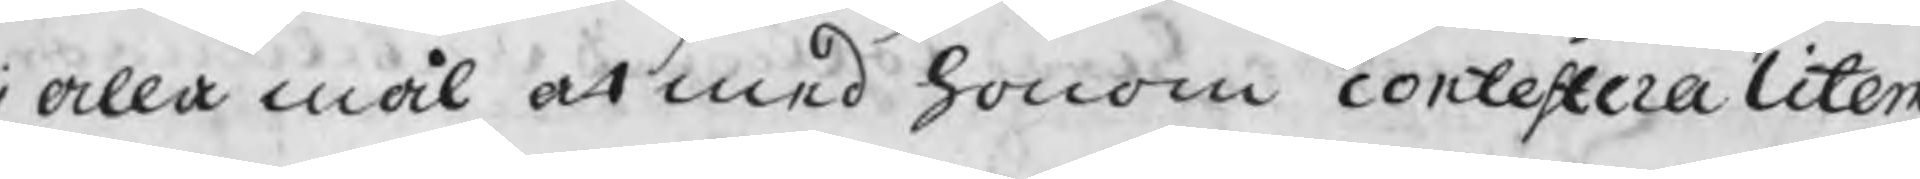alla mål at med honom contestera litem
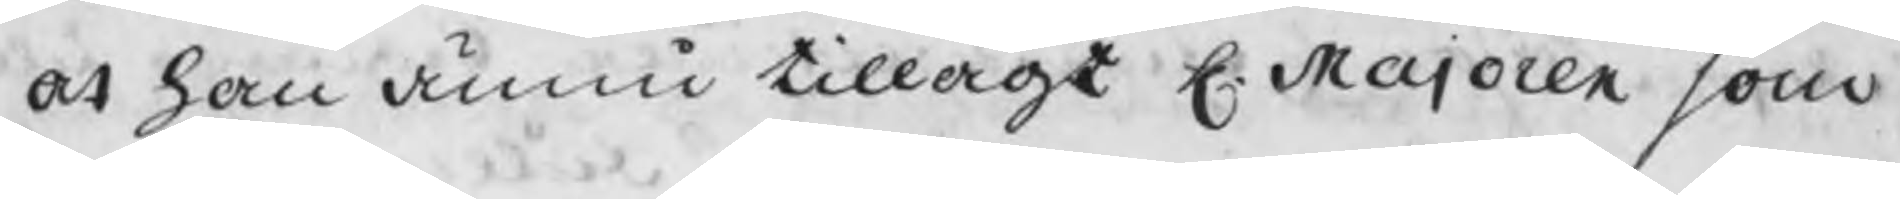at han ännu tillagt H. Majoren som
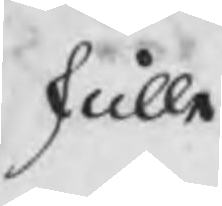skulle
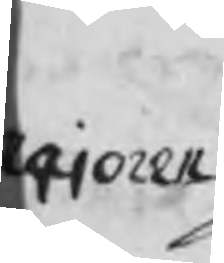Majoren
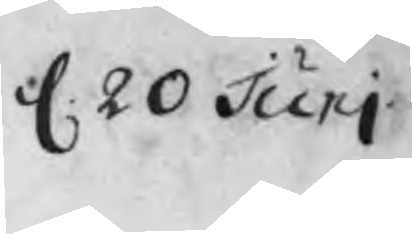d. 20 Junj
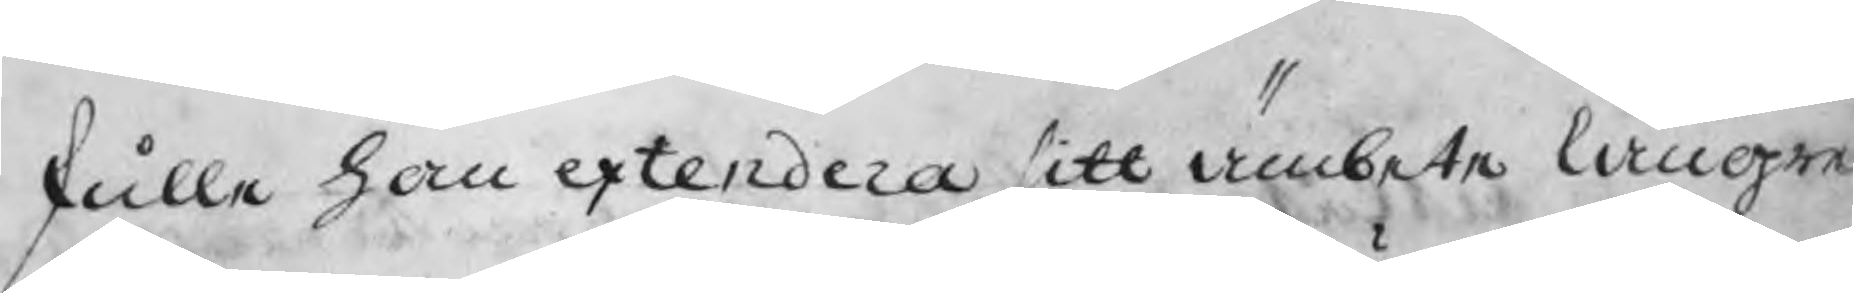skulle han extendera sitt ämbete längre
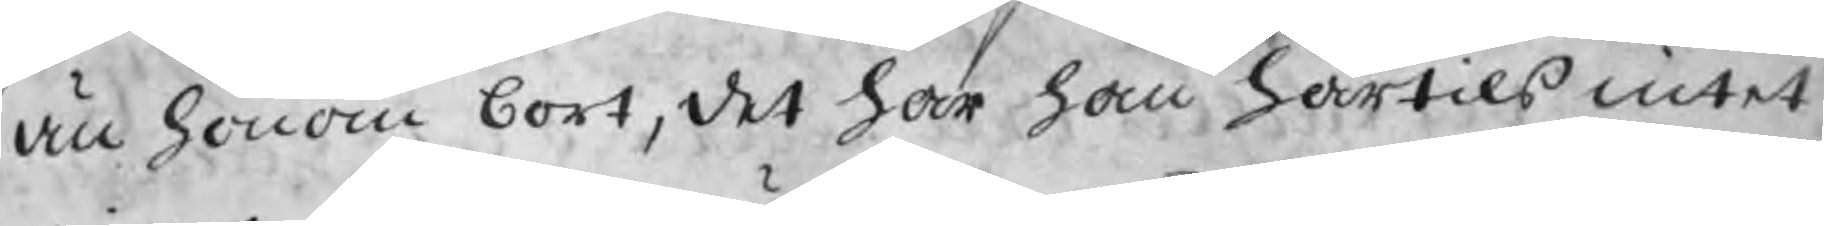än honom bort, det har han härtils intet
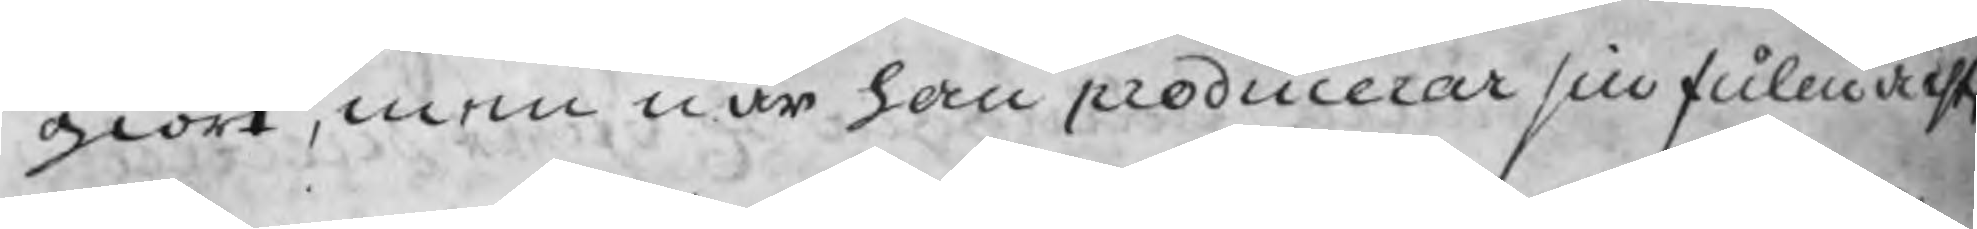giort, men när han producerar sin fullmacht
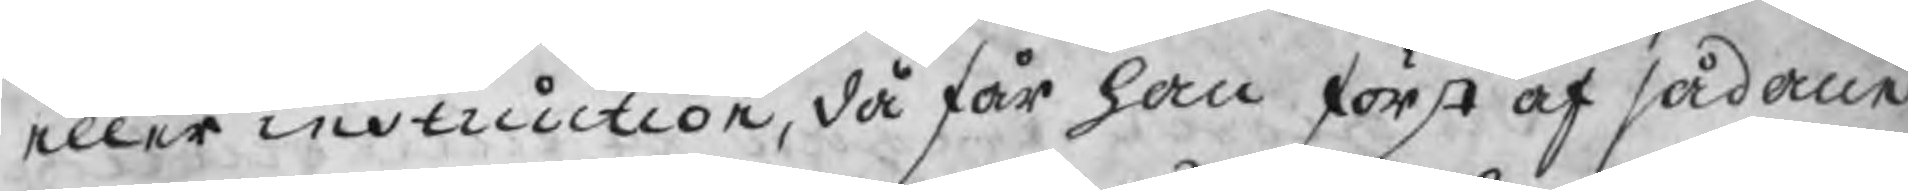eller instruction, då får han först af sådane
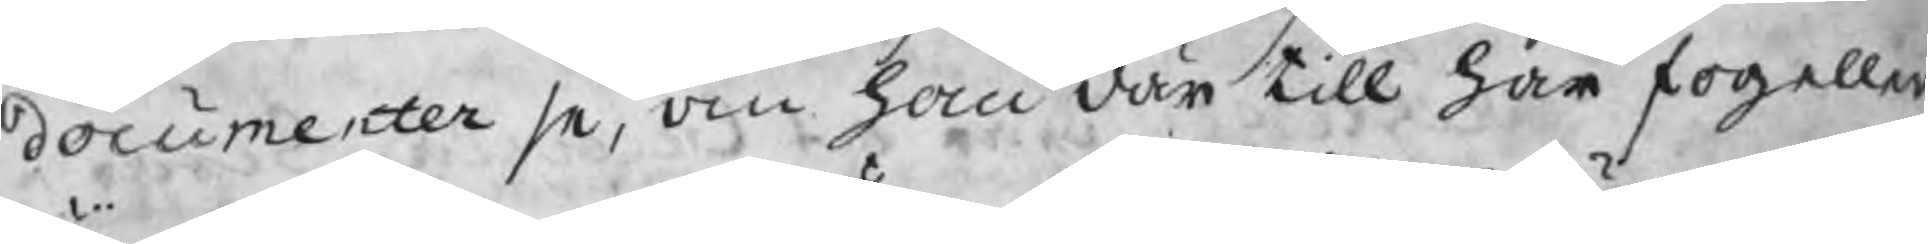documenter se, om han där till har fog eller
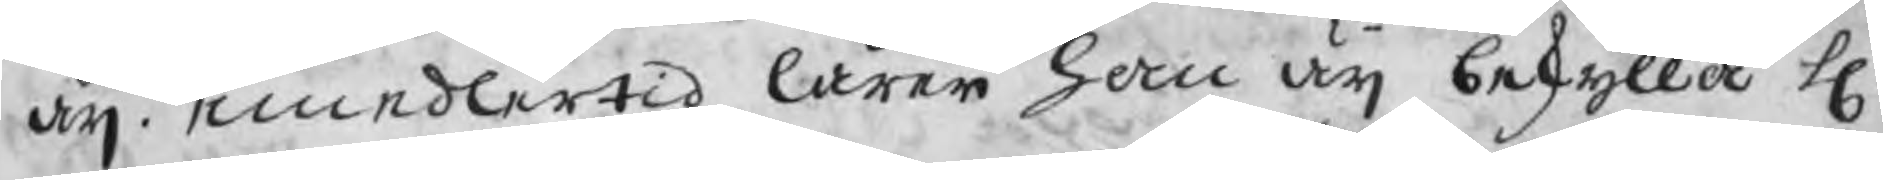äij. emedlertid lärer han äij beskylla H.
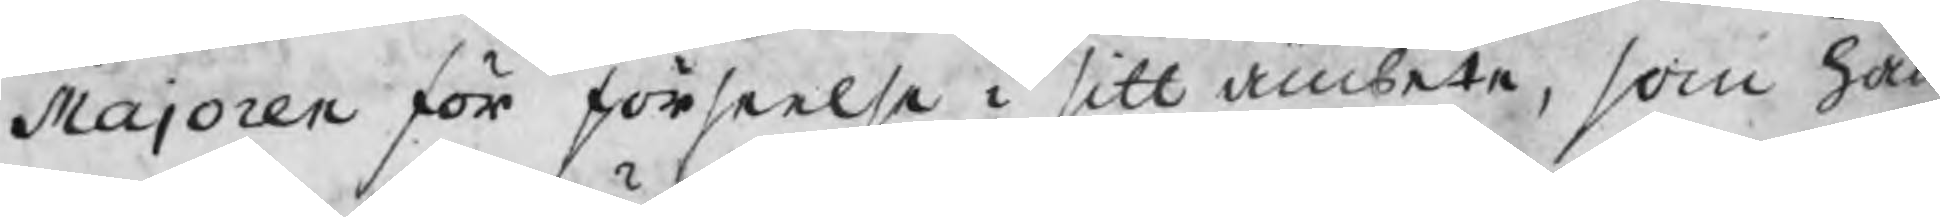Majoren för förseelse i sitt ämbete, som han
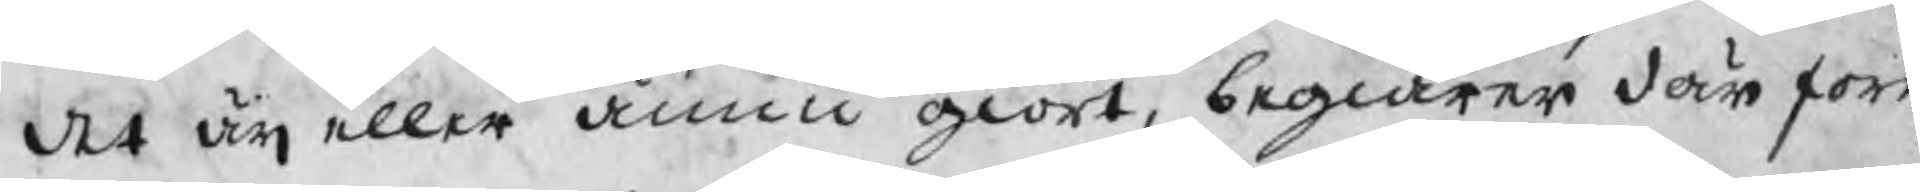det äij eller ännu giort, begiärer där före
